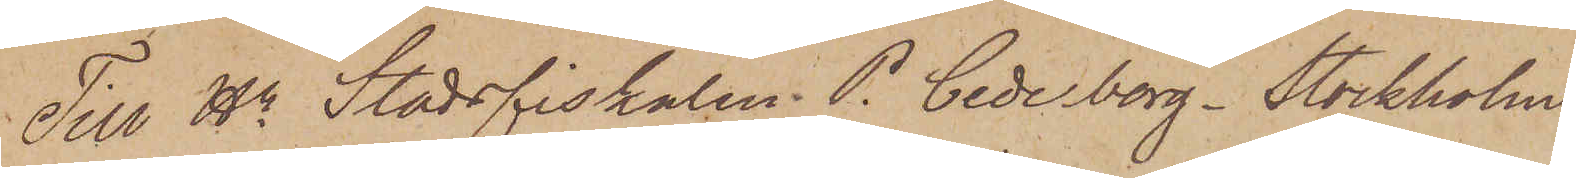Till Hr Stadsfiskalen P. Cederborg. Stockholm
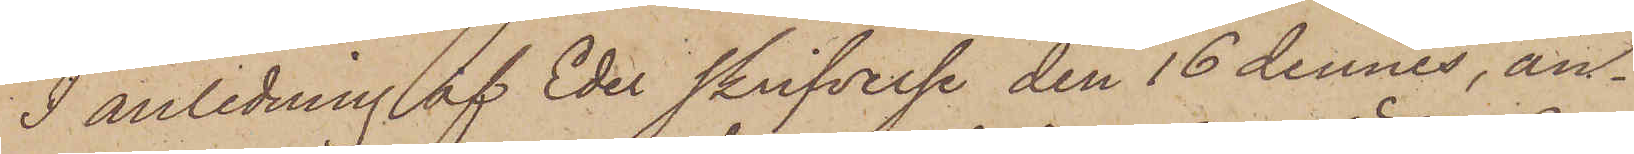I anledning af Eder skrifvelse den 16 dennes, an¬
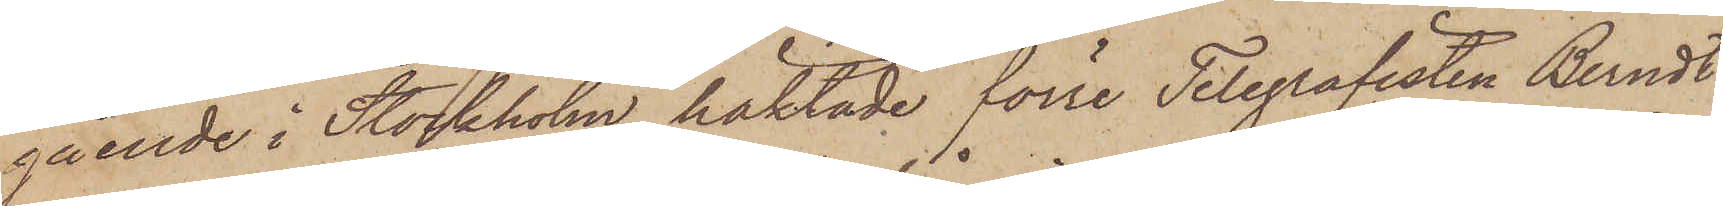gående i Stockholm häktade förre Telegrafisten Berndt
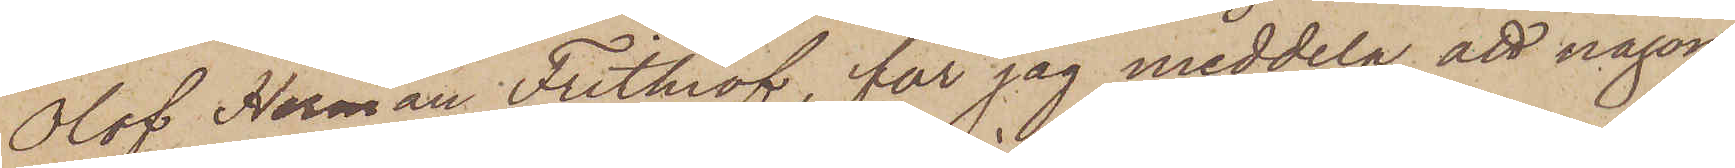Olof Herman Frithiof, får jag meddela, att någon
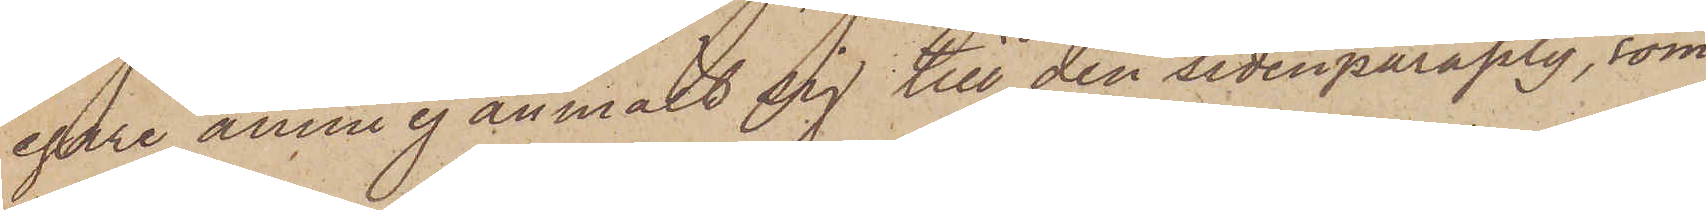egare ännu ej anmält sig till den sidenparaply, som
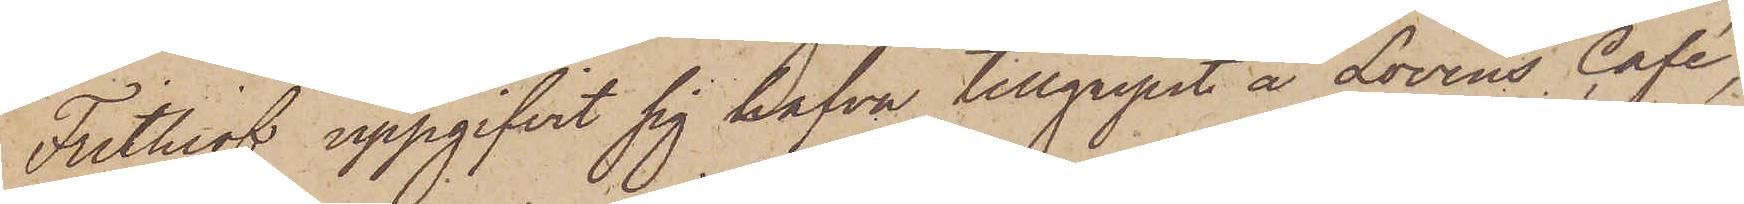Frithiof uppgifvit sig hafva tillgripit å Lovéns Café,
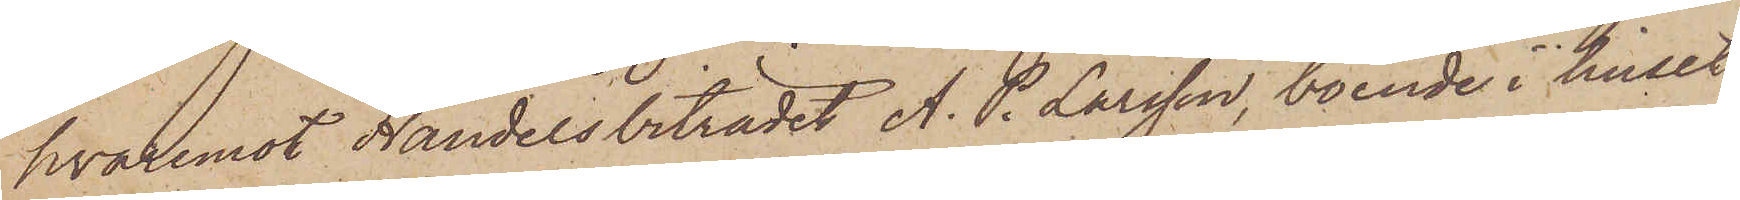hvaremot Handelsbiträdet A. P. Larsson, boende i huset
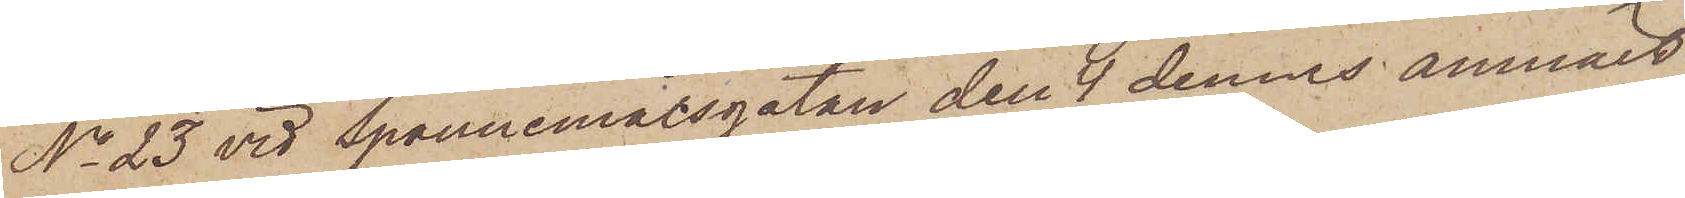No 23 vid Spannmålsgatan den 9 dennes anmält,
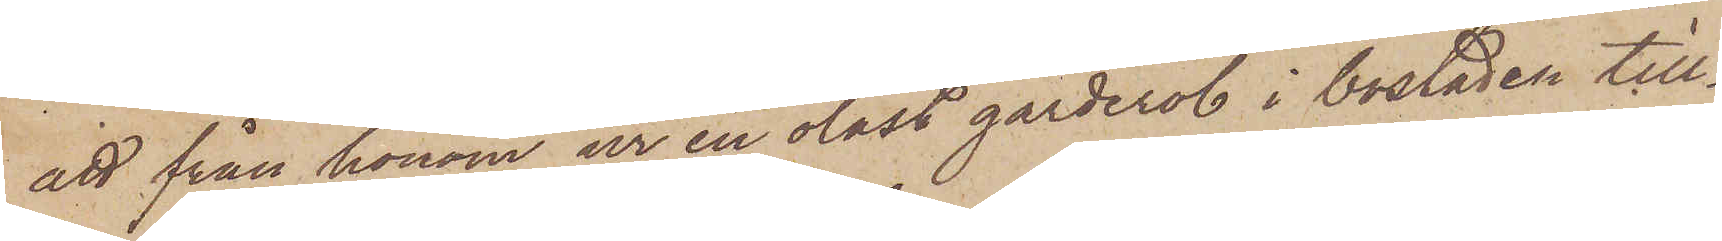att från honom ur en olåst garderob i bostaden till¬
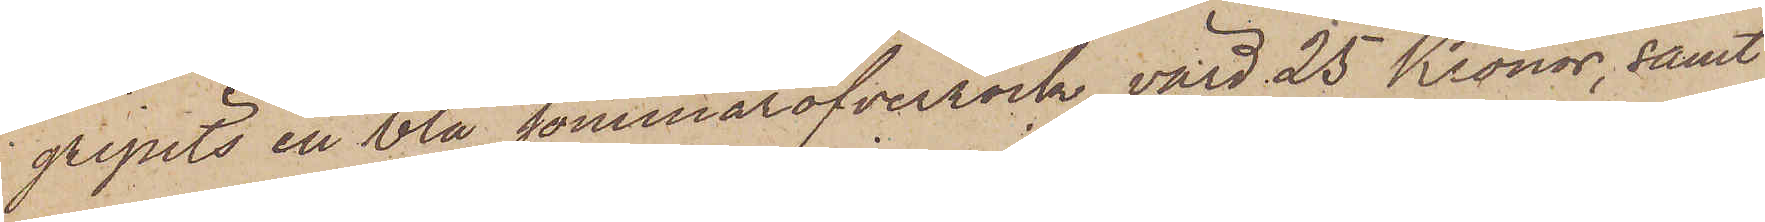gripits en blå sommaröfverrock, värd 25 Kronor, samt
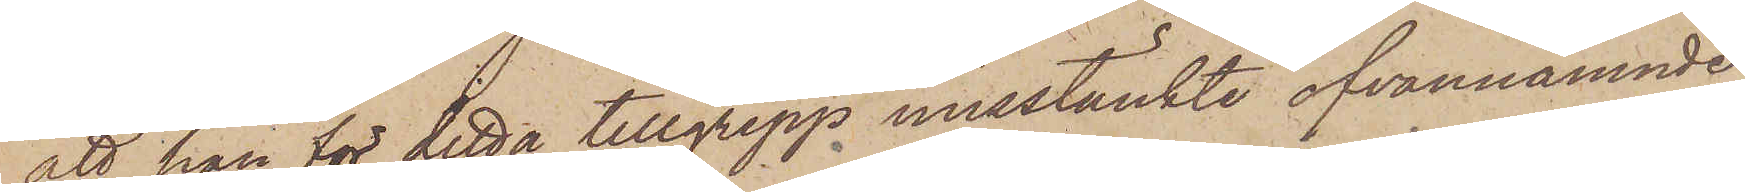att han för detta tillgrepp misstänkte ofvannämnde
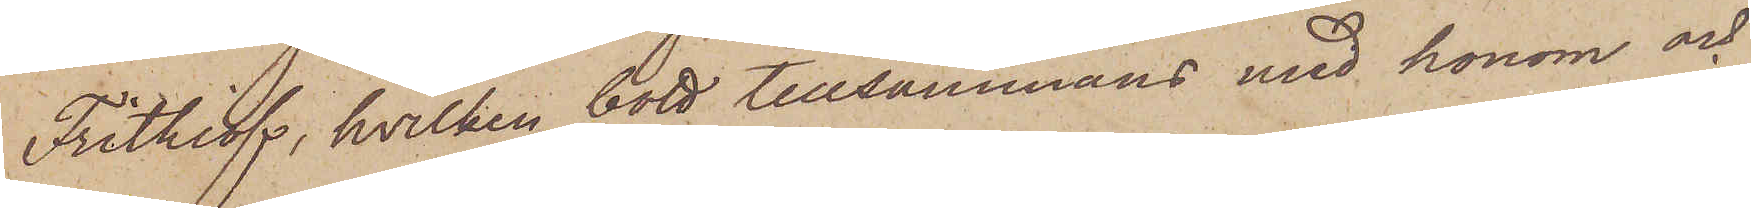Frithiof, hvilken bott tillsammans med honom och
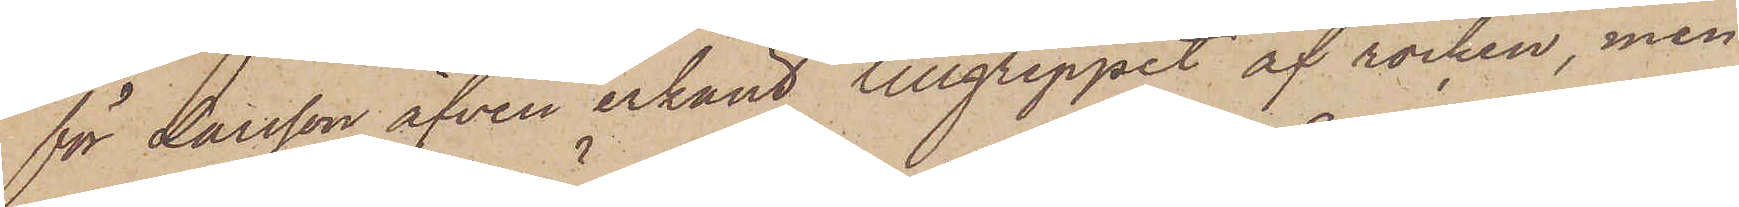för Larsson äfven erkänt tillgreppet af rocken, men
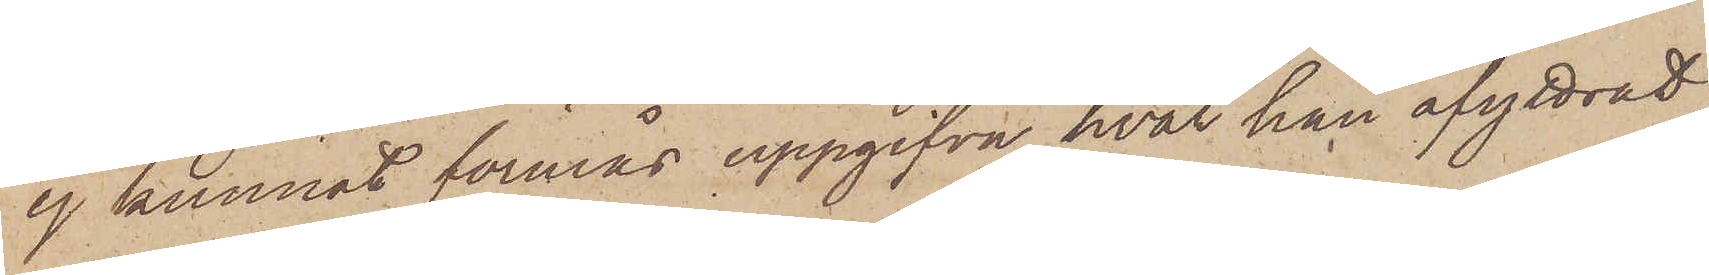ej kunnat förmås uppgifva hvar han afyttrat
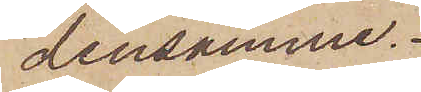densamme.
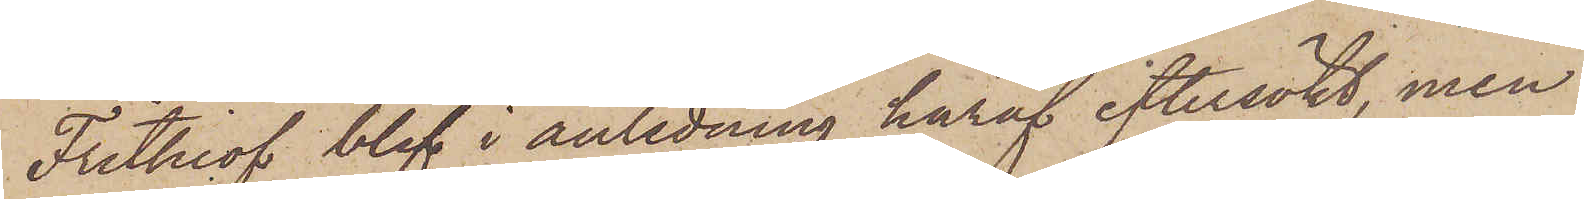Frithiof blef i anledning häraf eftersökt, men
